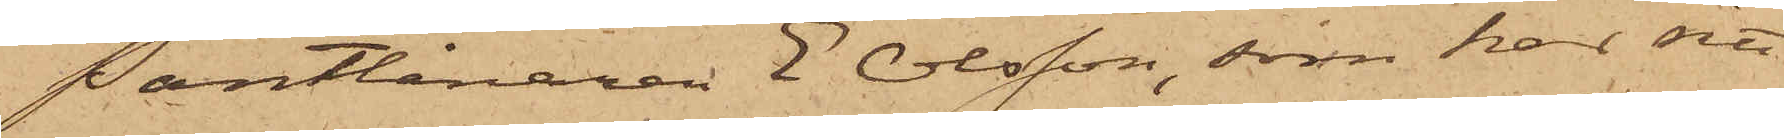Pantlånaren E Olsson, som har sitt
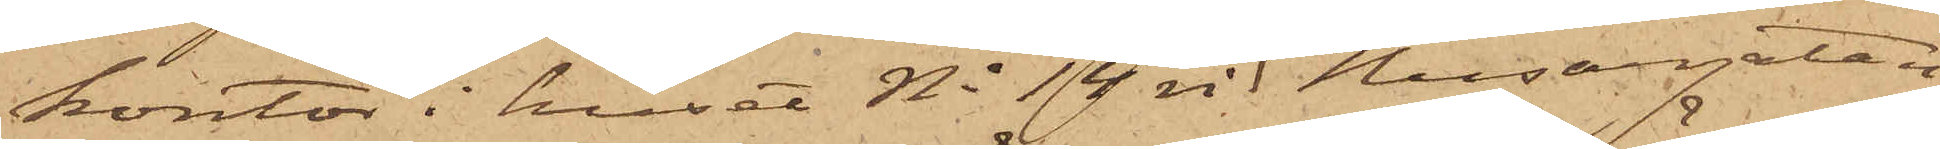kontor i huset No 14 vid Husargatan
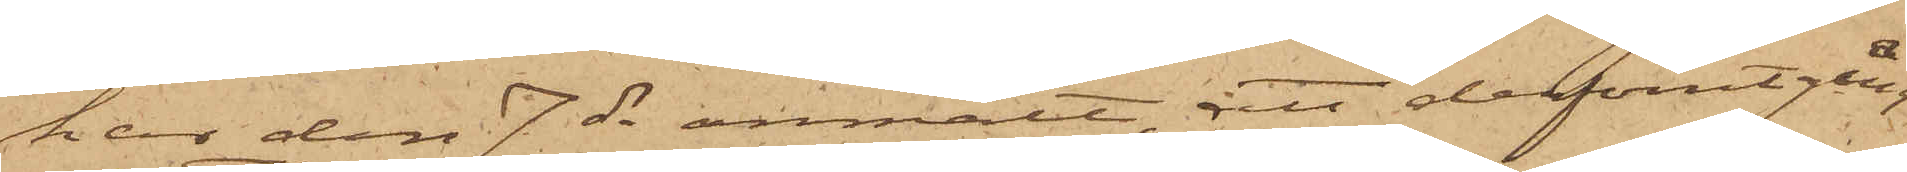har den 7 ds anmält, att derförutgång¬
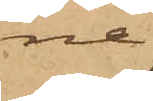ne
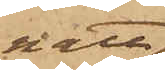natt
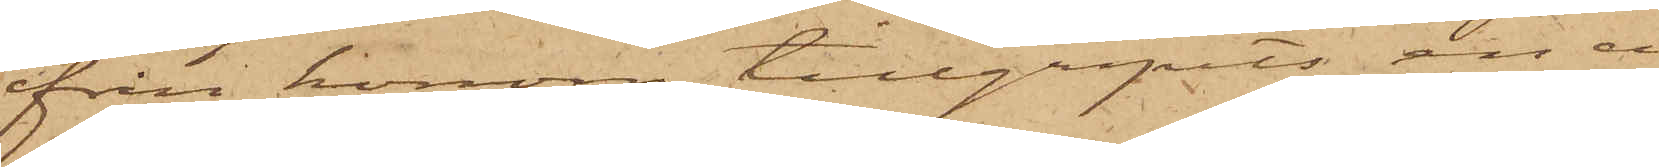ifrån honom tillgripits en ci¬
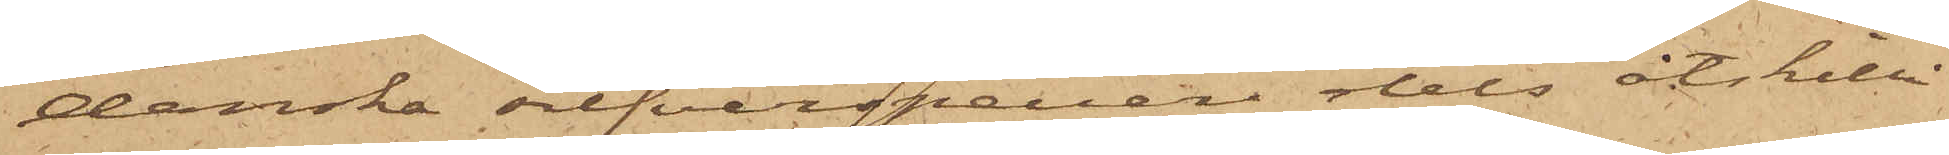danska silfverspecier dels åtskilli¬
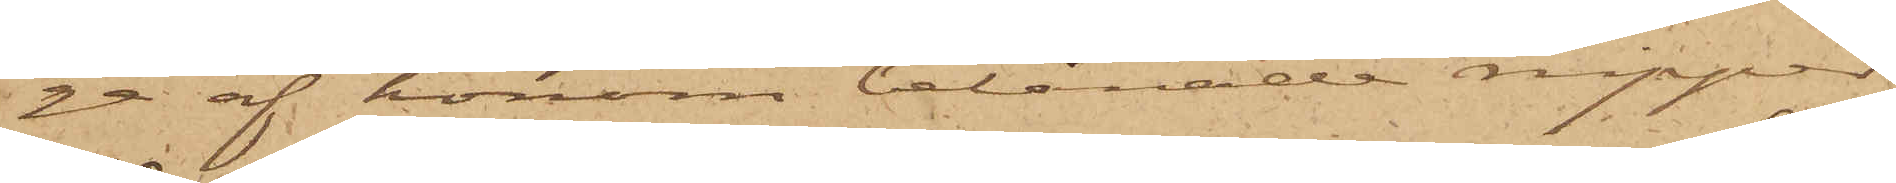ge af honom belånade nipper
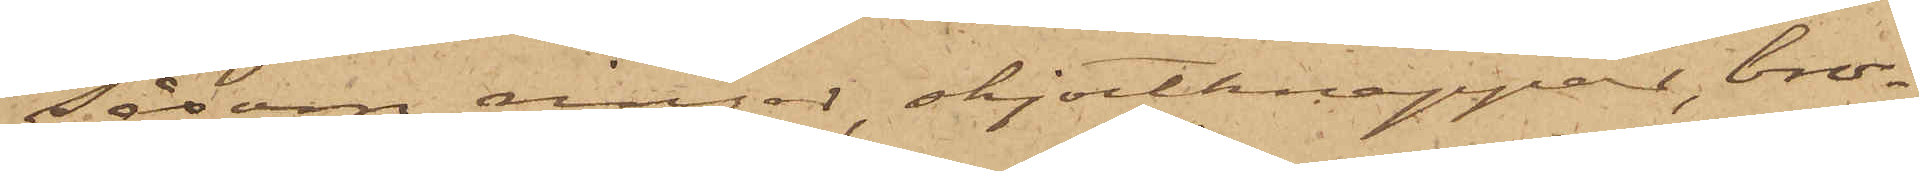såsom ringar, skjortknappar, bro¬
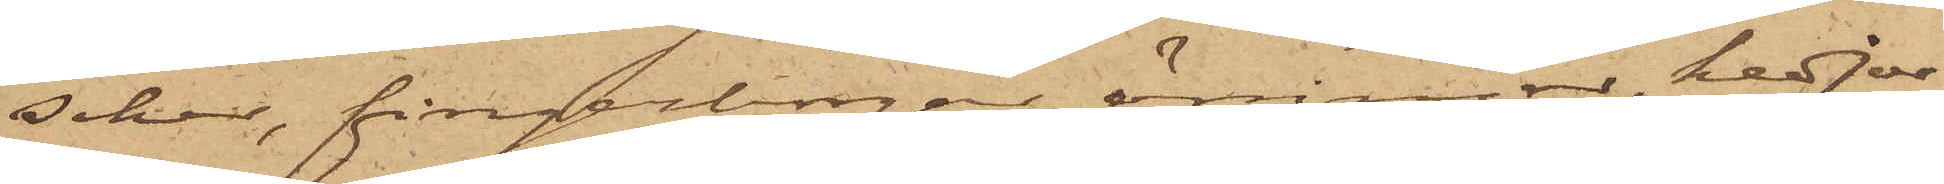scher, fingerborgar, örringar, kedjor
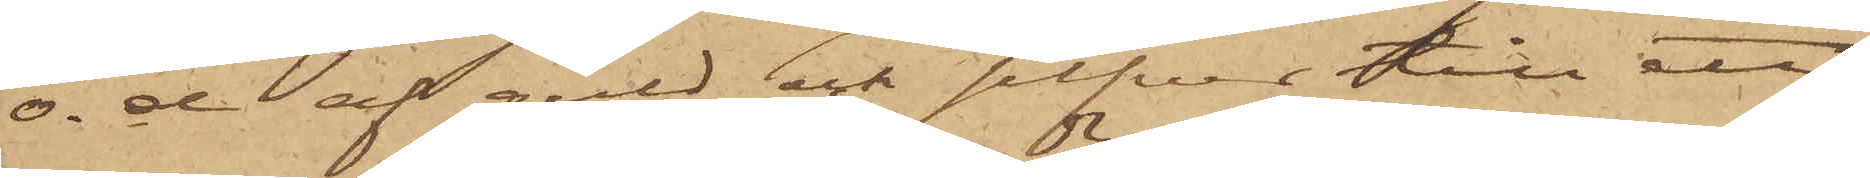o. d af guld och silfver till ett
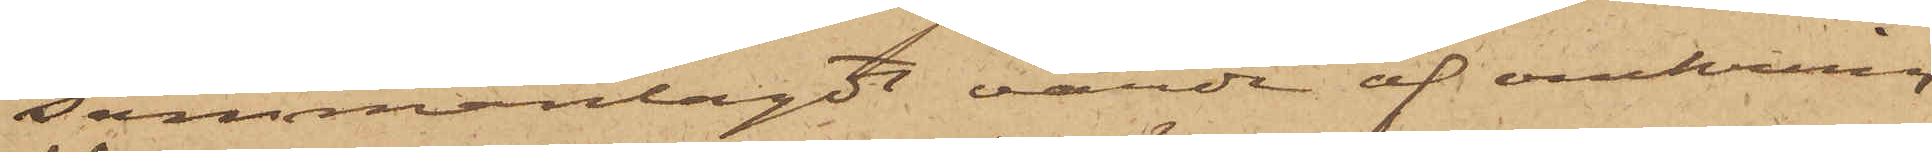sammanlagdt värde af omkring
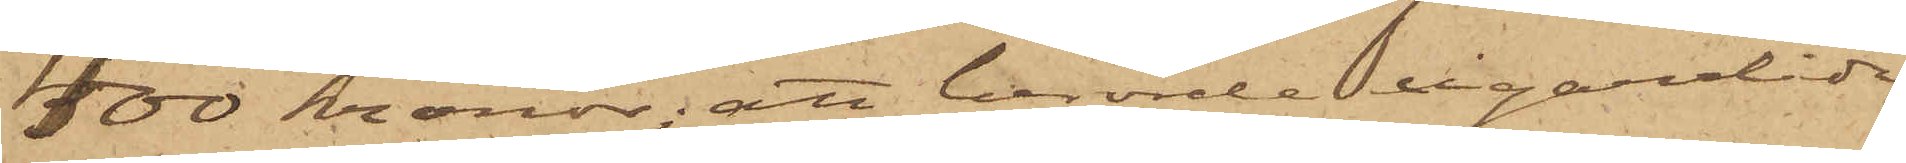400 Kronor; att berörde cigarrlåda
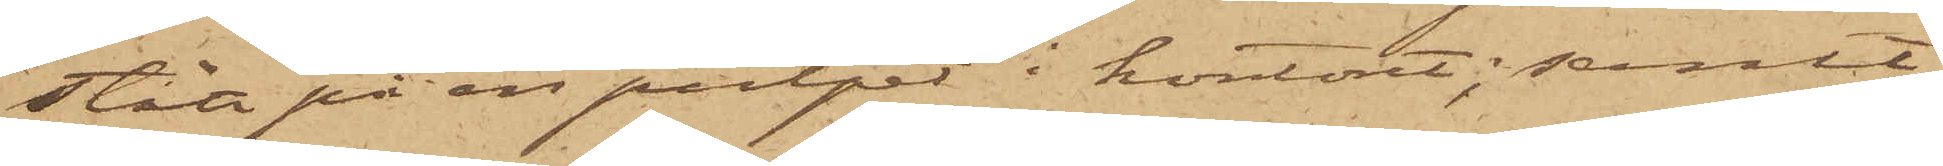stått på en pulpet i kontoret; samt
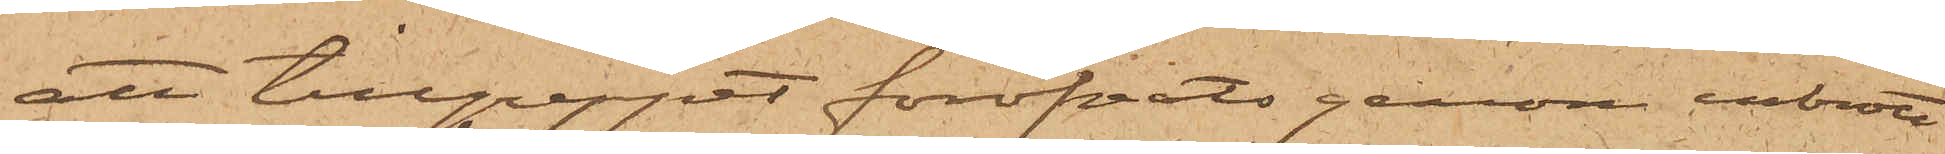att tillgreppet föröfvats genom inbrott
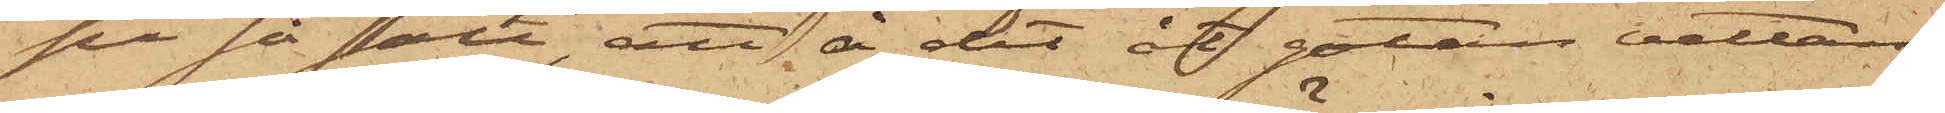på så sätt, att å det af gatan vettan¬
